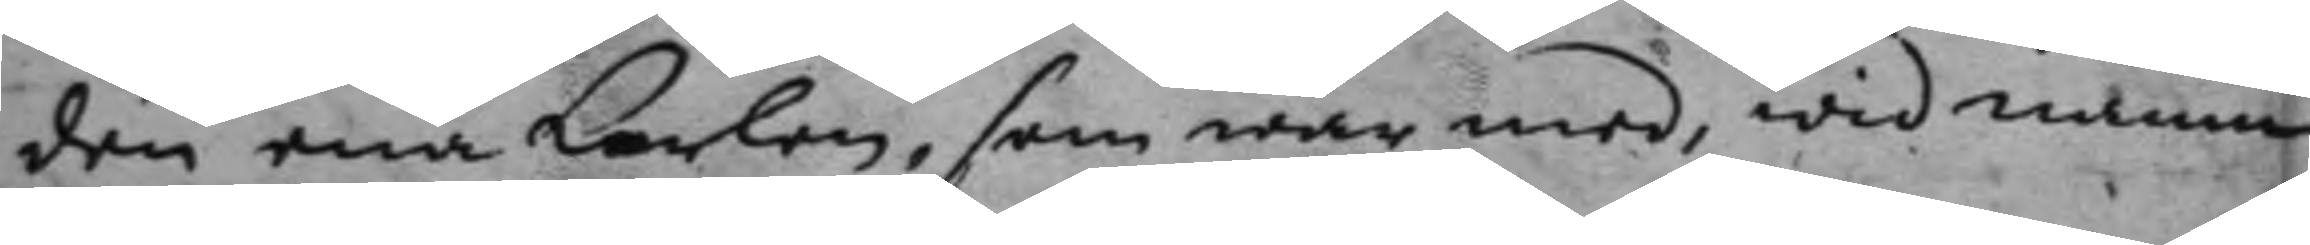den ena karlen, som war med, wid namn
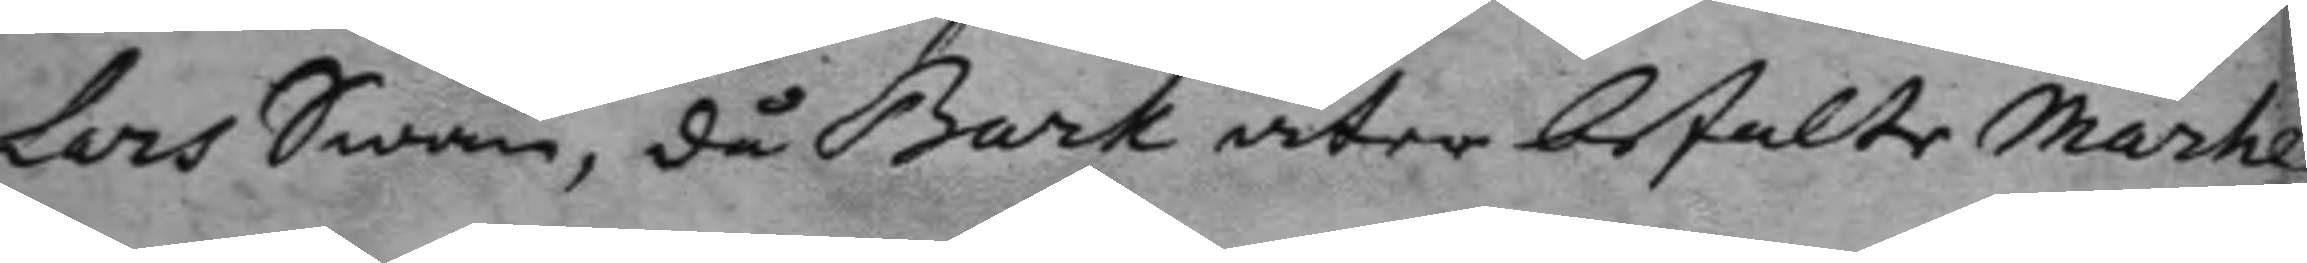Lars Swan, då Bark åter betalte Marhe
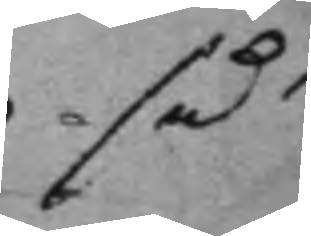så
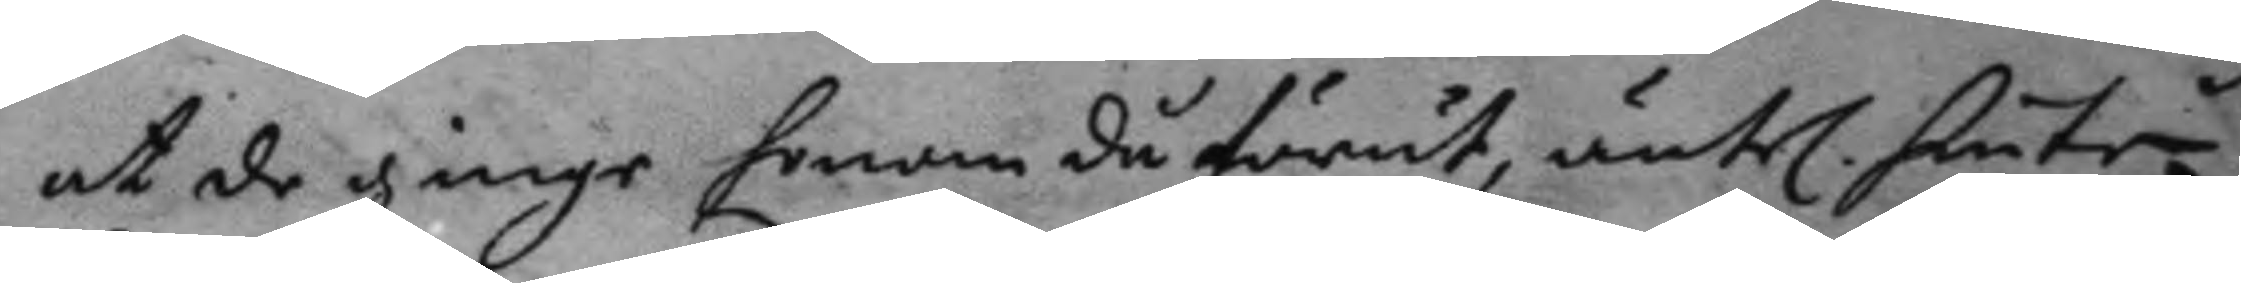at de ginge honom du förut äntel. hinte
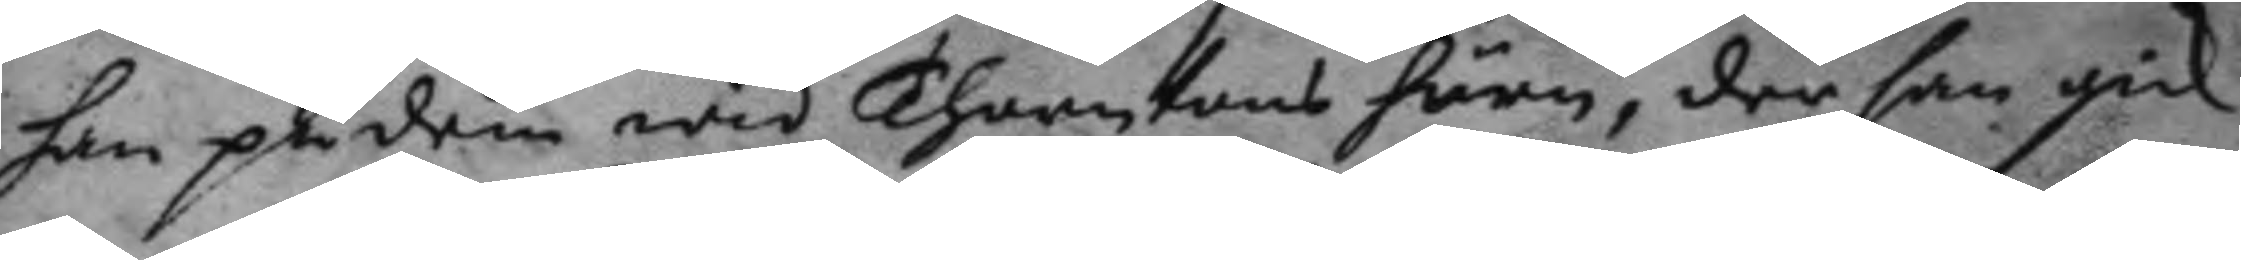han på dem wid Thomsons hörn, der han gick
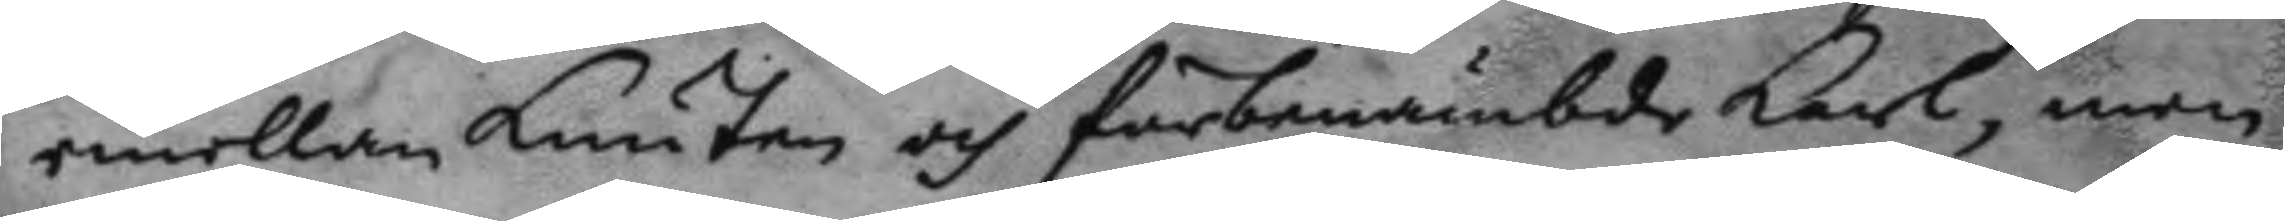emellan Lunten och förbemämbde karl, men
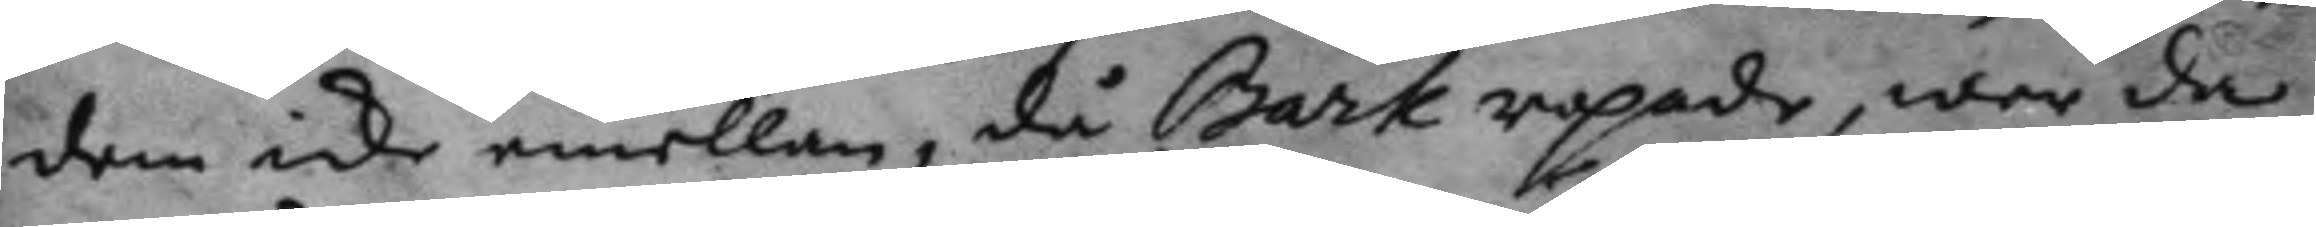dem icke emellan, då Bark ropade, war da
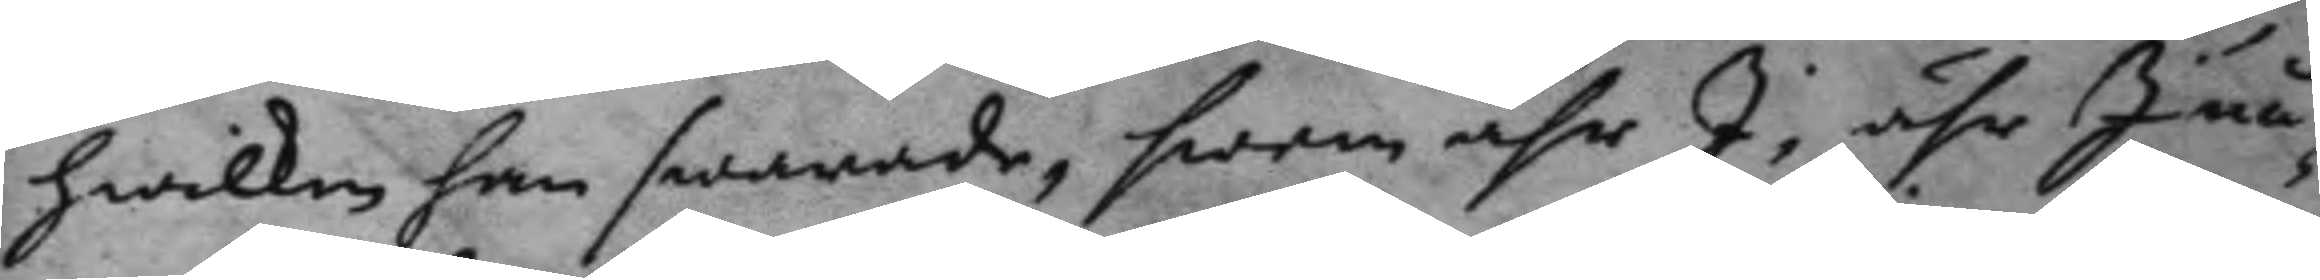hwilken han swarade, hwem ähr I; ähr I nå¬
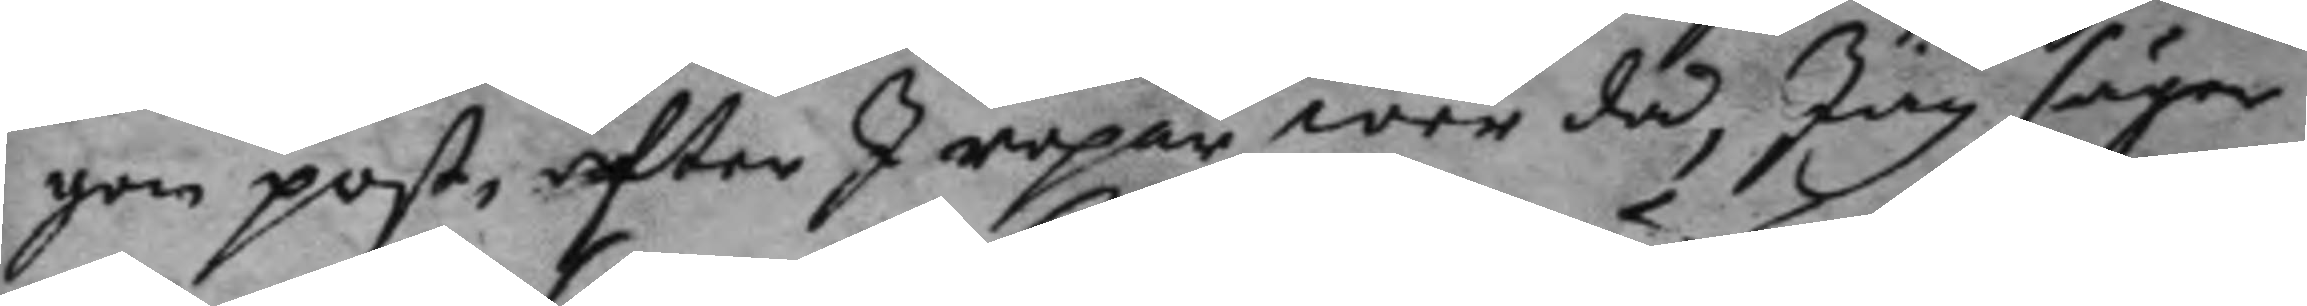gon post, efter J Ropar war då, Jag säger
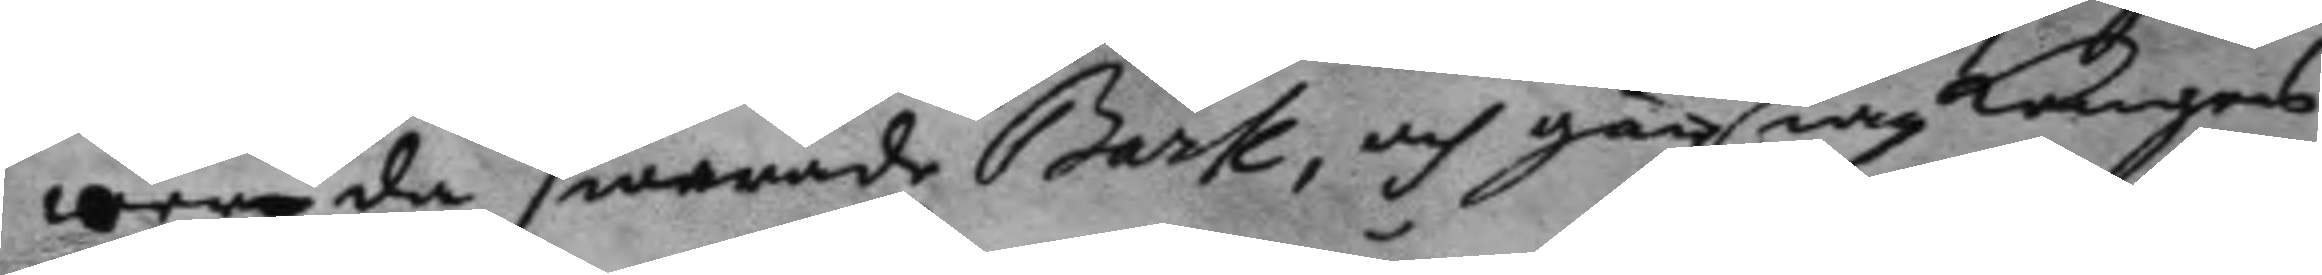wer du swarade Bark, och går iag kungens
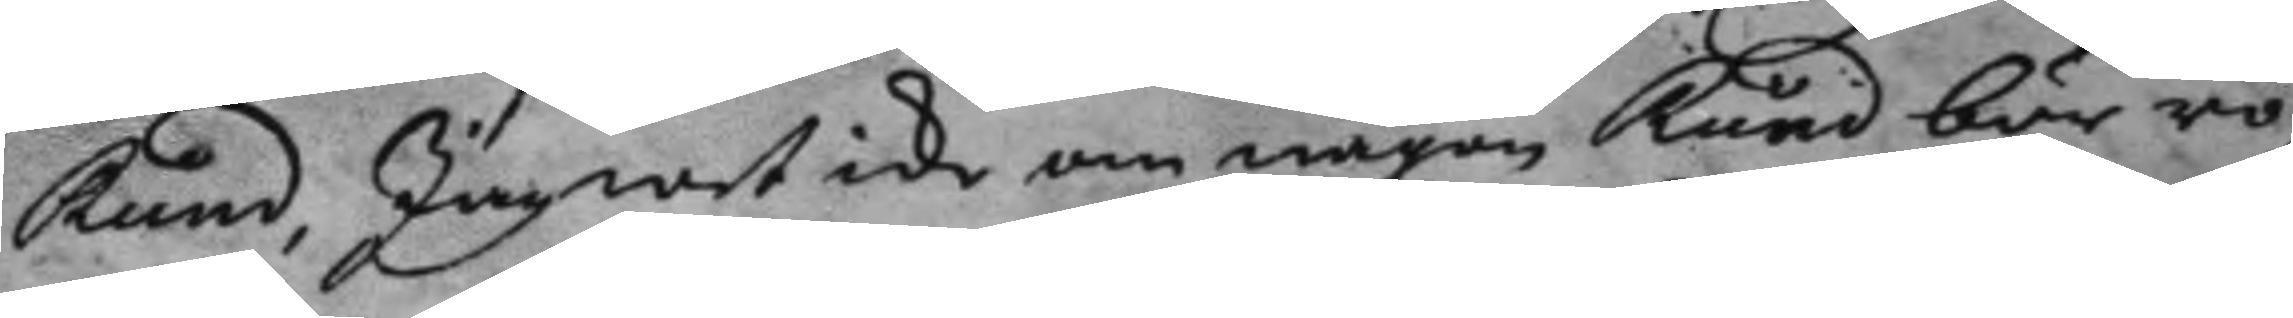Rund,Jag weticke om någon Rund bör ro¬
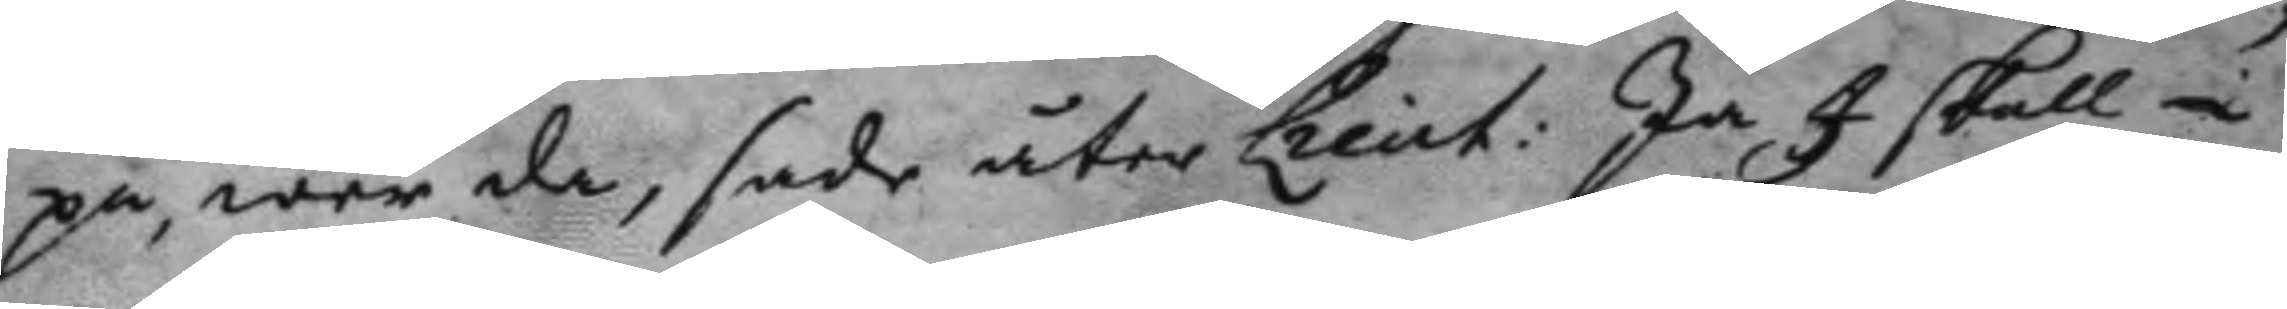pa, war da, sade åter Lieut: Ja I skall i
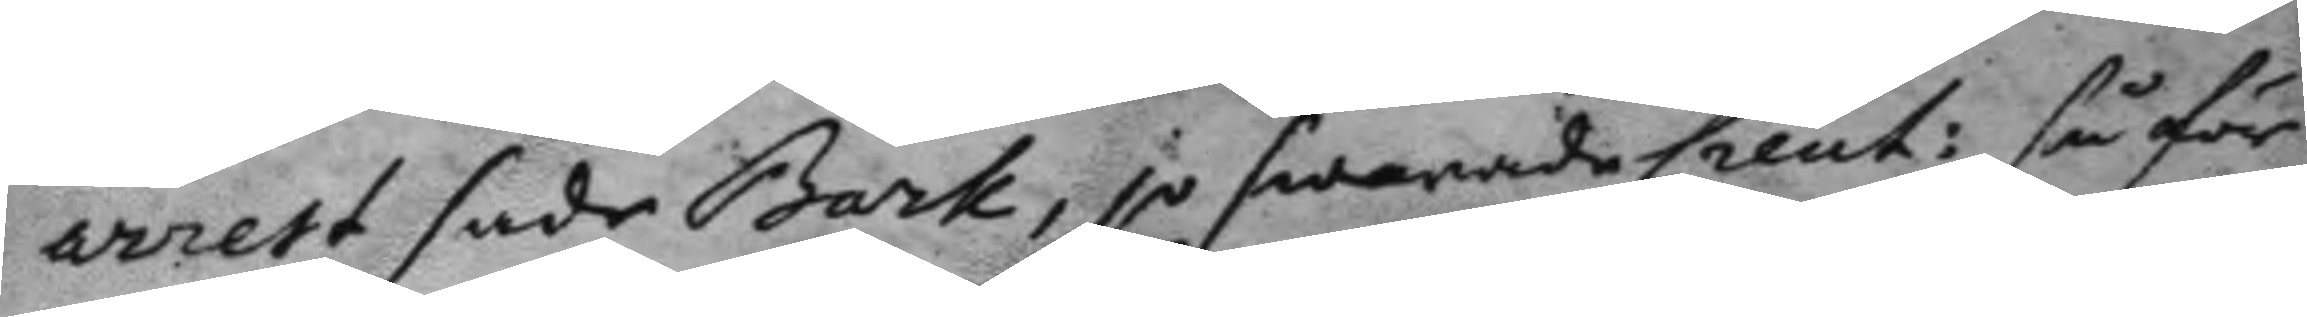arrest sade Bark, jo swarade Lieut: så för
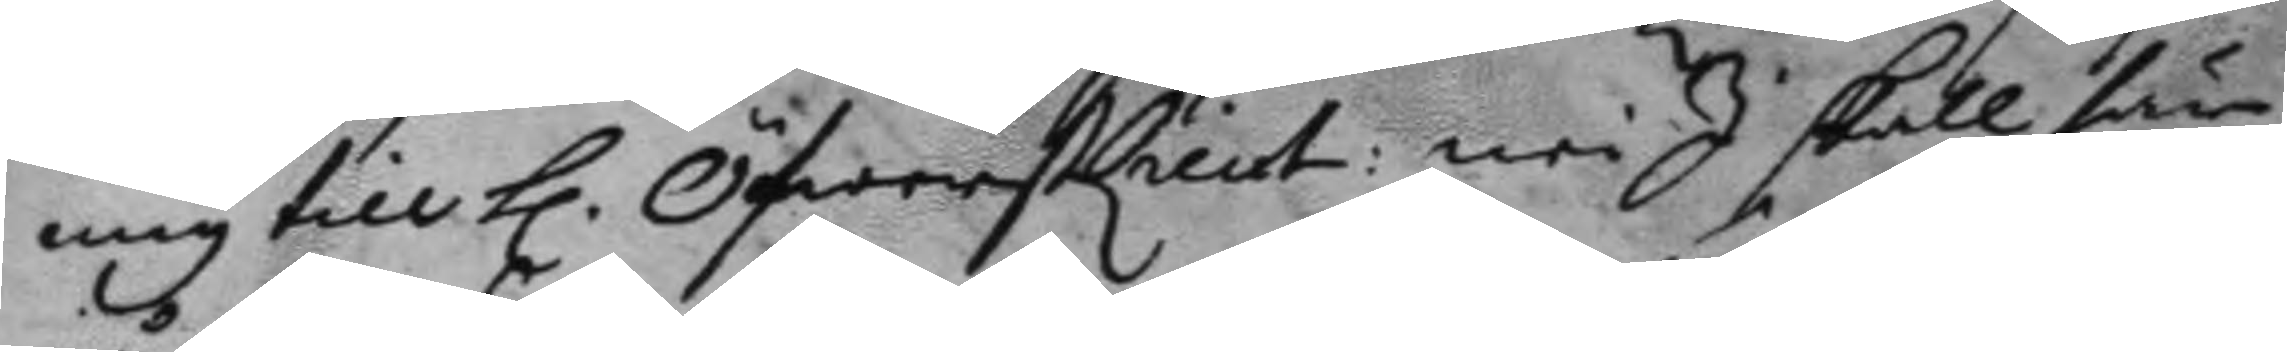mig till h. ÖfwerstLieut: nei I skall här
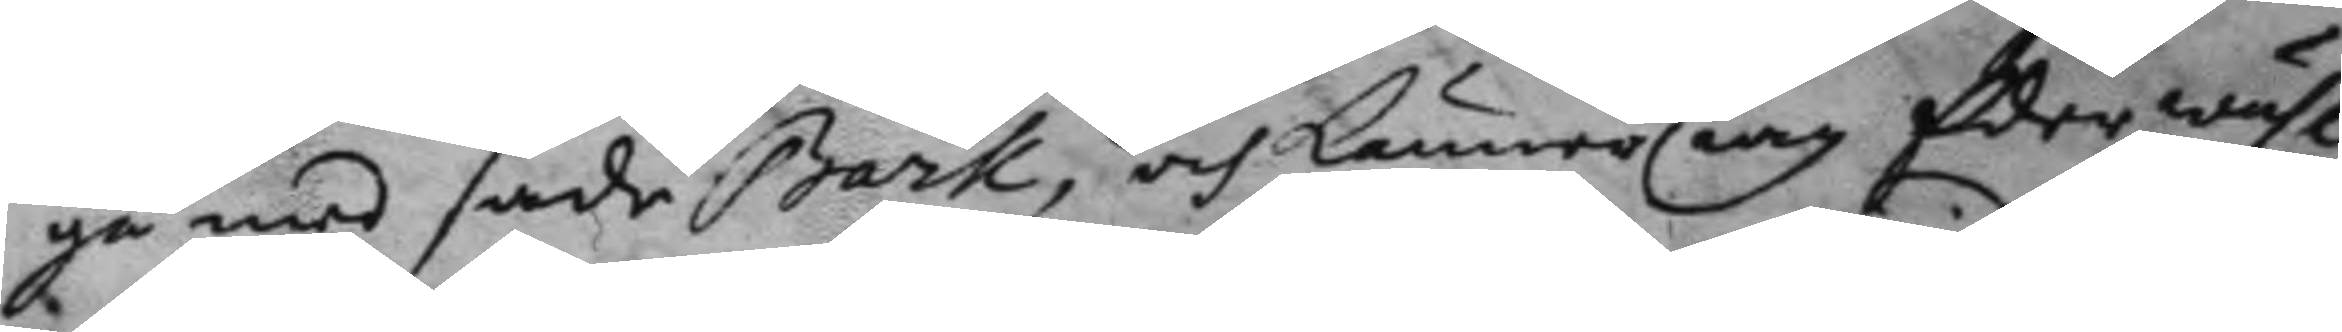gå med sade Bark, och känner iag Eder wähl
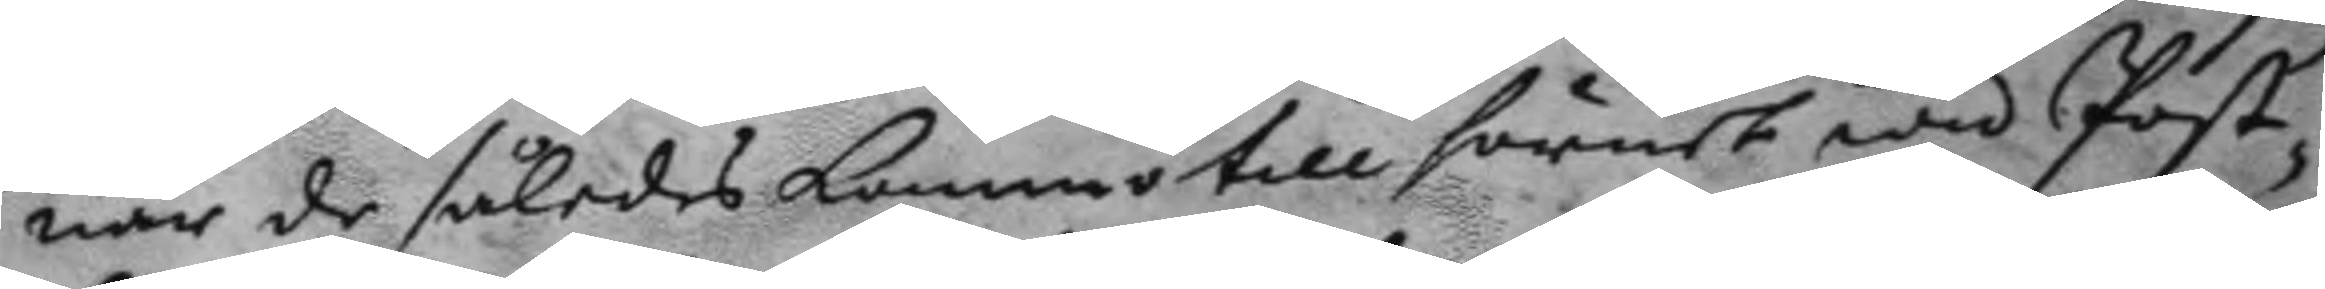när de således kommo till hörnet wid Post¬
